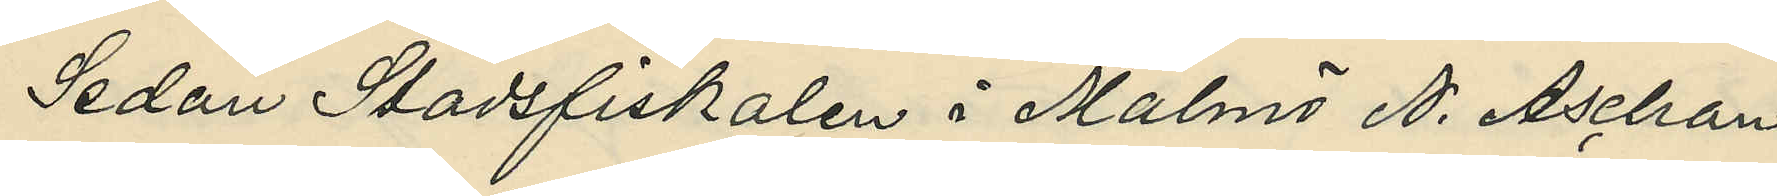Sedan Stadsfiskalen i Malmö N. Aschan
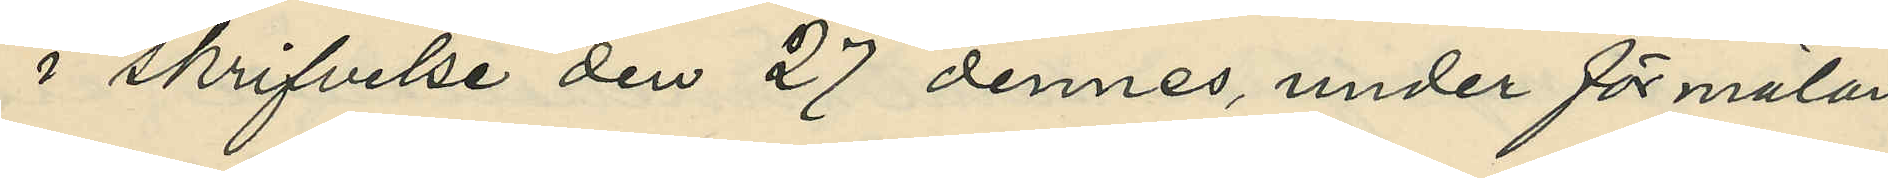i skrifvelse den 27 dennes, under förmälan
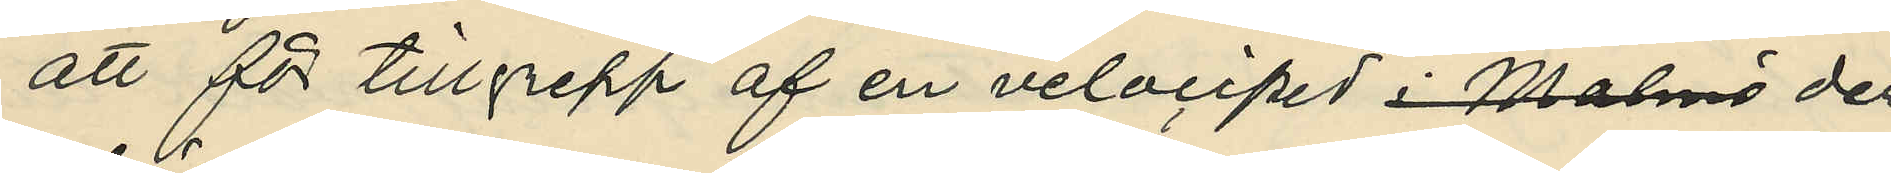att för tillgrepp af en velociped i Malmö der¬
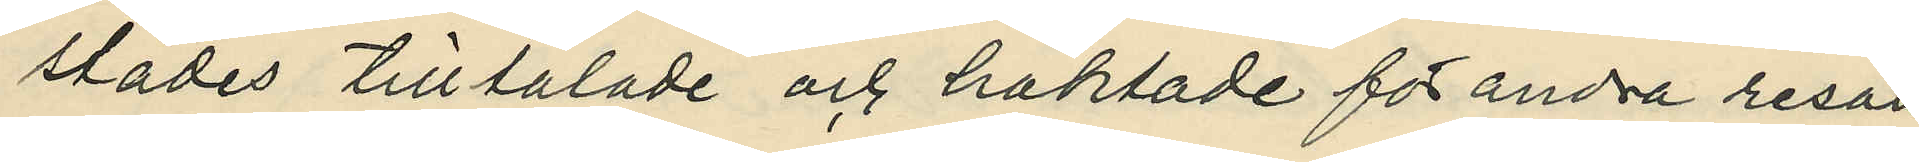städes tilltalade och häktade för andra resan
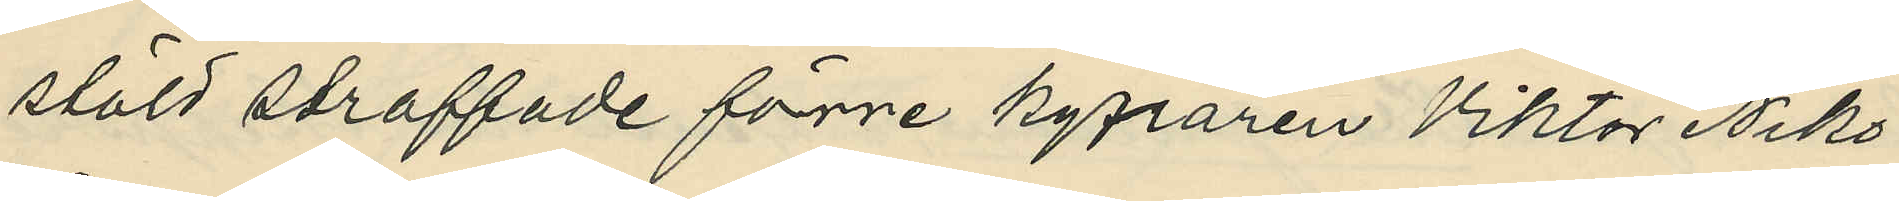stöld straffade förre kyparen Viktor Niko¬
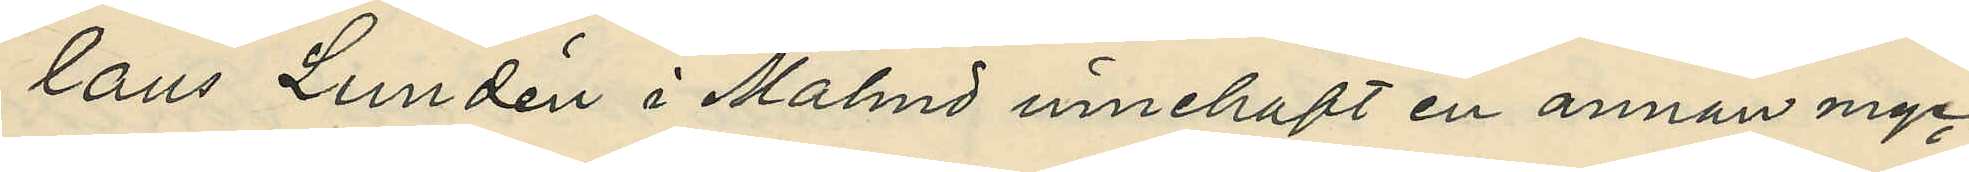laus Lundén i Malmö innehaft en annan myc¬
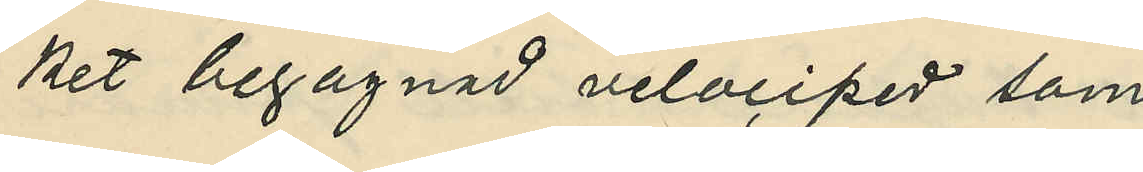ket begagnad velociped som
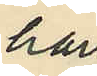han
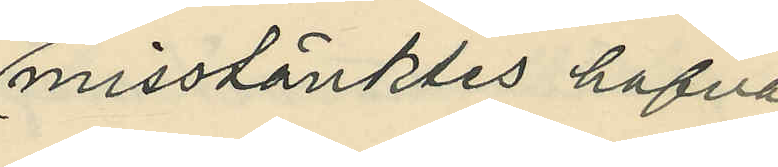misstänktes hafva
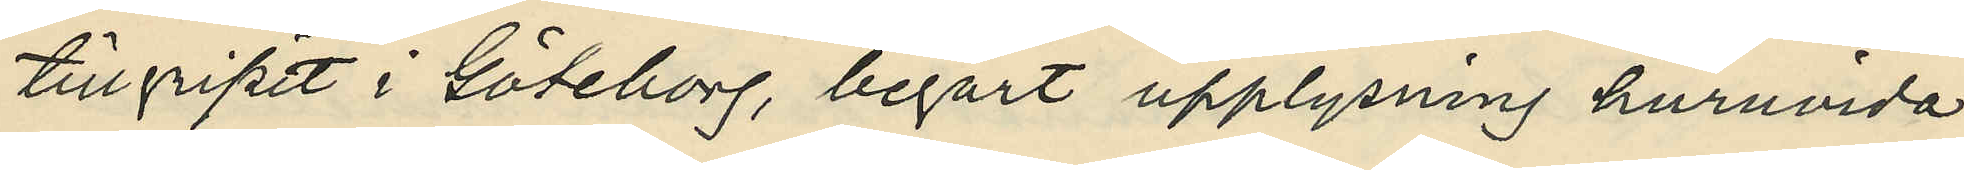tillgripit i Göteborg, begärt upplysning huruvida
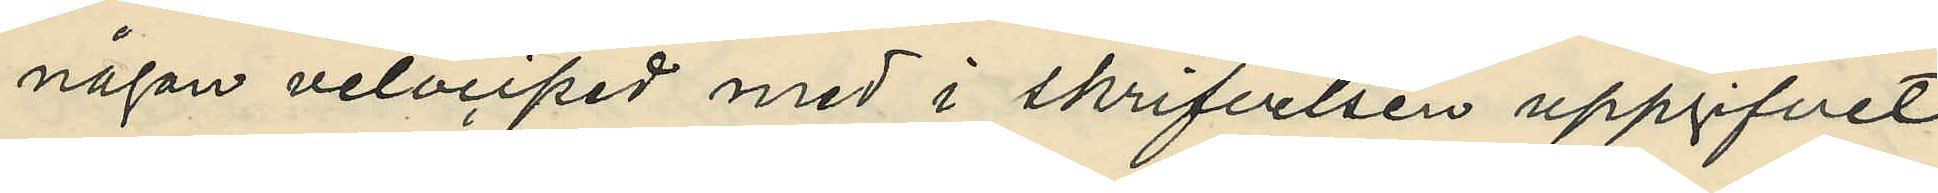någon velociped med i skrifvelsen uppgifvet
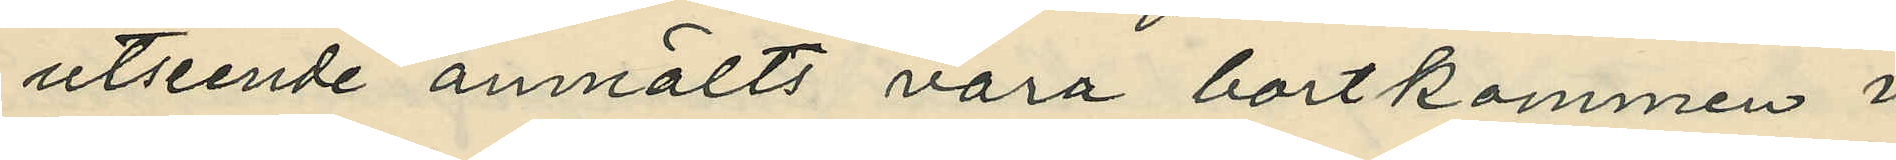utseende anmälts vara bortkommen i 
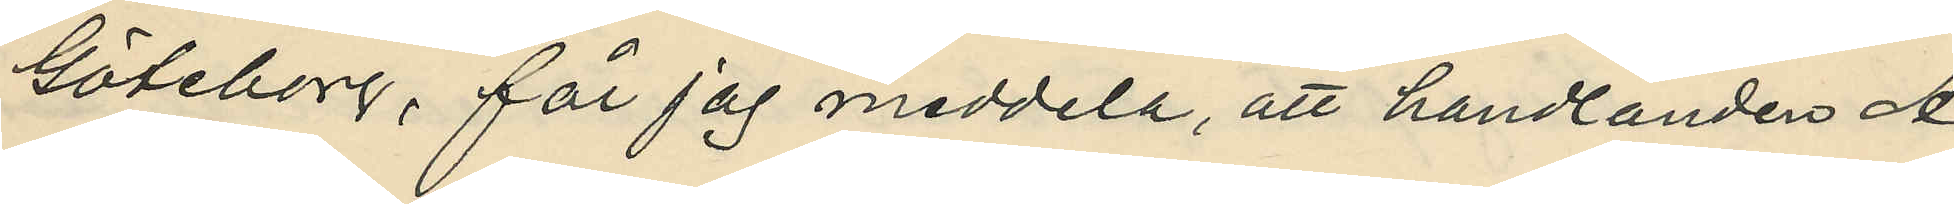Göteborg, får jag meddela, att handlanden A.
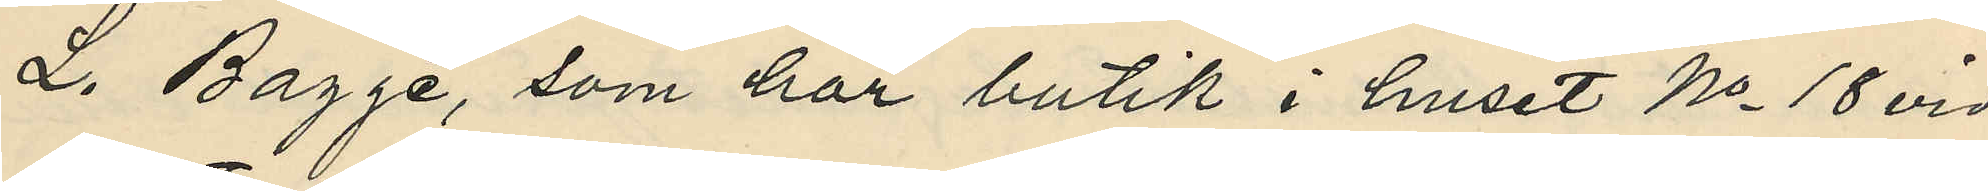L. Bagge, som har butik i huset No 18 vid
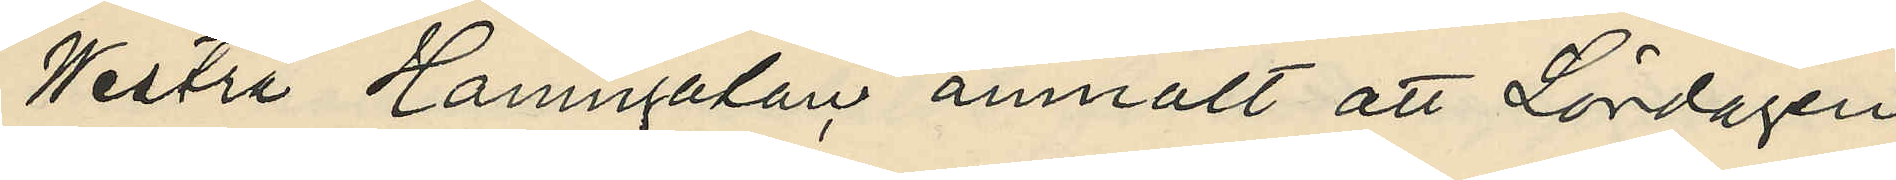Westra Hamngatan, anmält att Lördagen
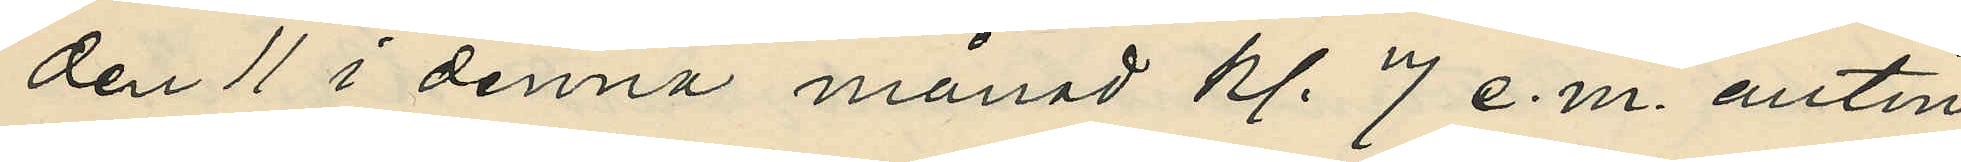den 11 i denna månad kl. 7 e. m. antin¬
